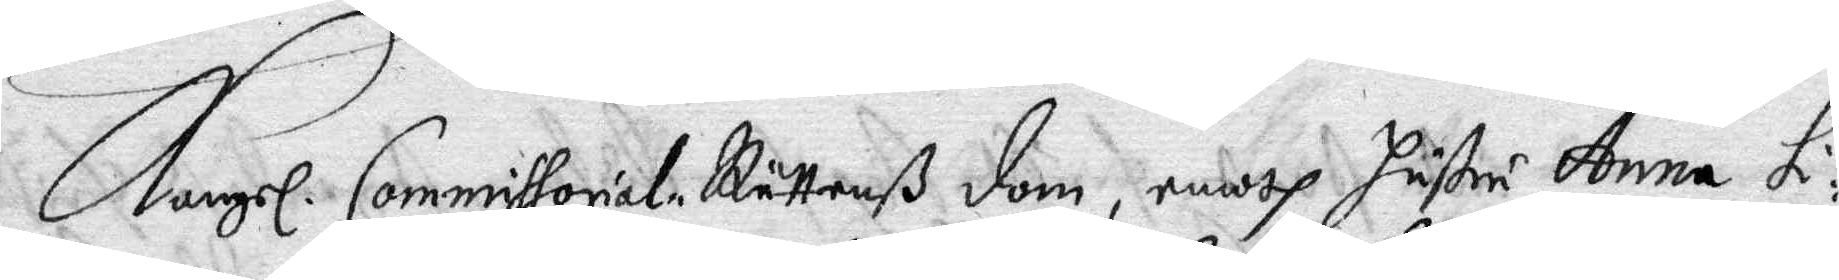Kongl. Commissorial Rättenß dom, emoth hustru Anna L:¬
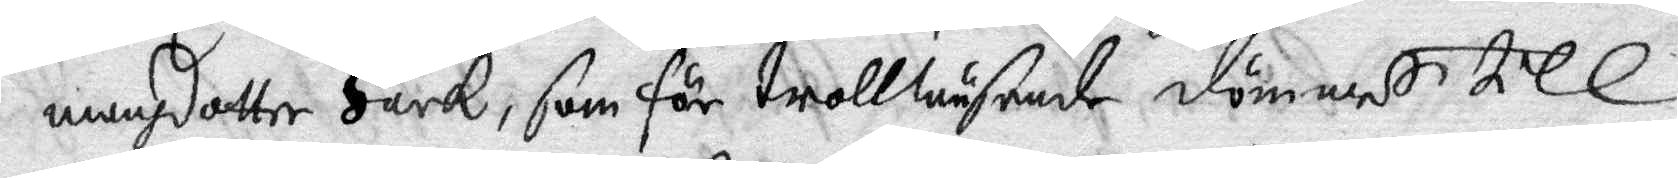unnh dotter Hark, som för trollwäsende dömmes till
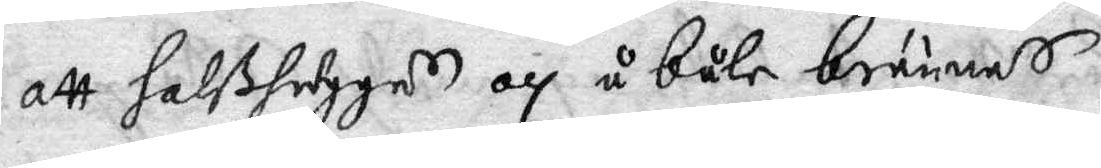att halshuggas och ä båle brännas.
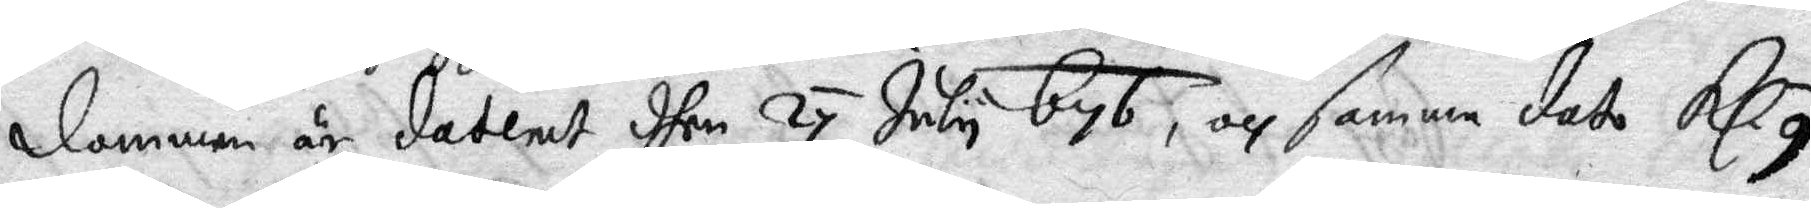dommen är daterat dhen 24 July 676, och samma dato Kl 9
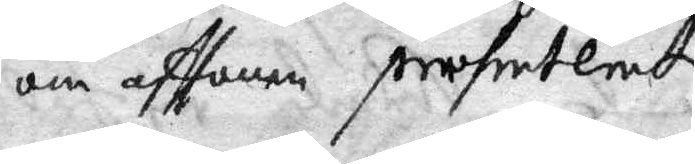om afftonen presenterat.
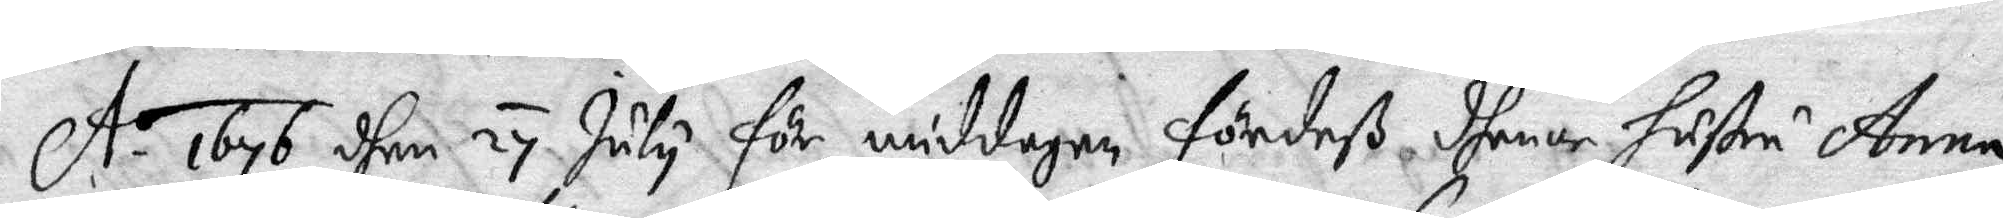A.o 1767 dhen 24 July för middagen fördes dhenne hustru Anna
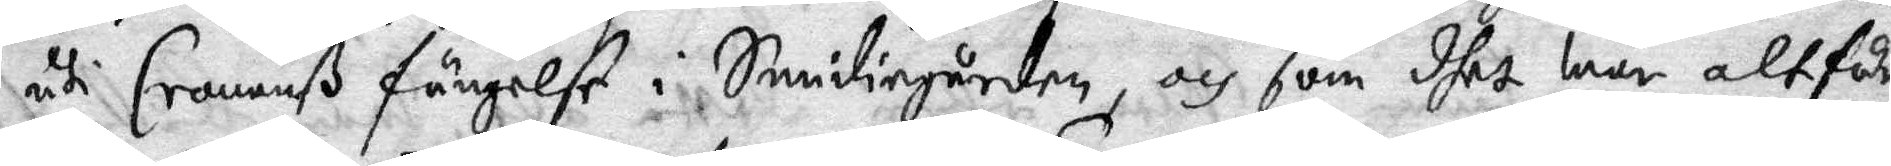uti Cronanß fängelse i Smidiegården, och som dhet war altfår
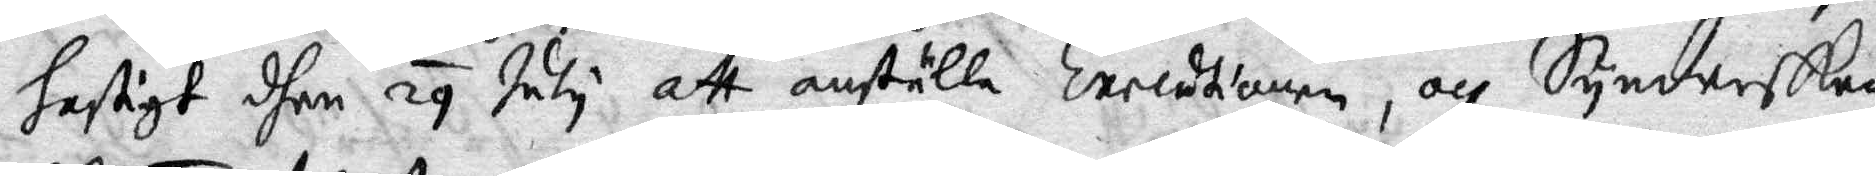hastigt dhen 29 July att anställa Executionen, och Synderskan
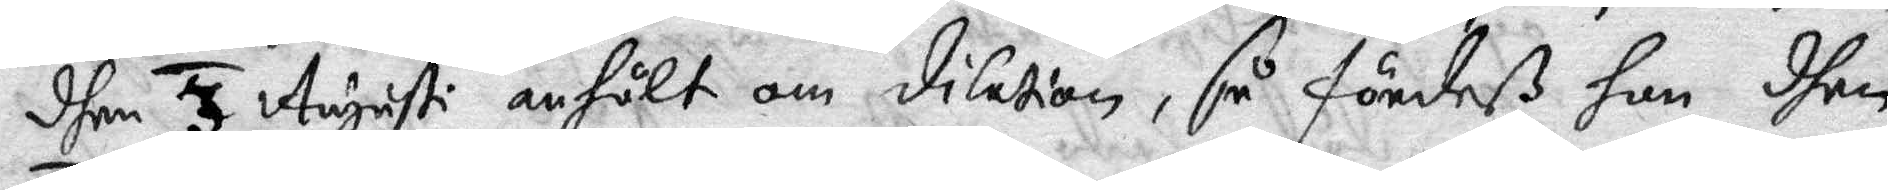dhen 3 Augusti anhålt om dilation, så fördeß hon dhen
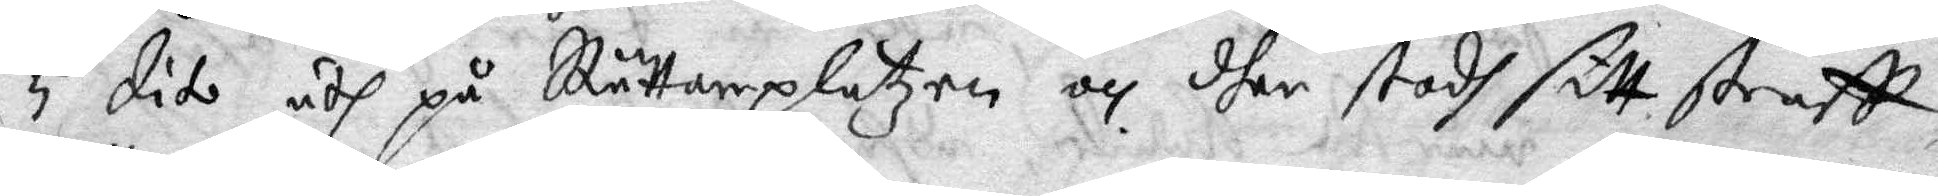5 dito uth på Rättareplatzen och dher stodh sitt straff
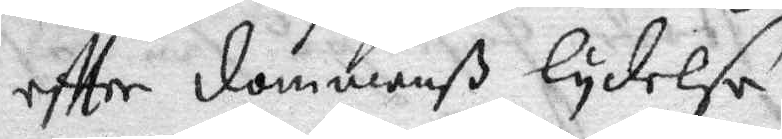effter dommenß lydelse.
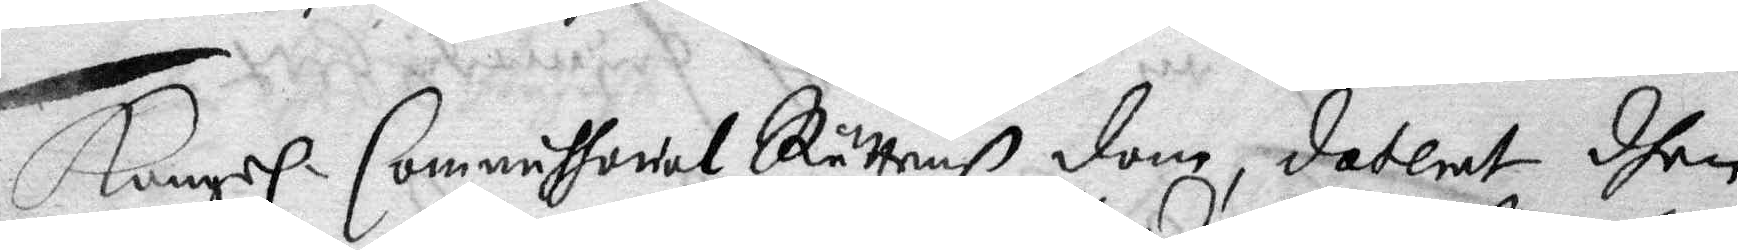Kongl. Commissorial Rättenß dom, daterat dhen
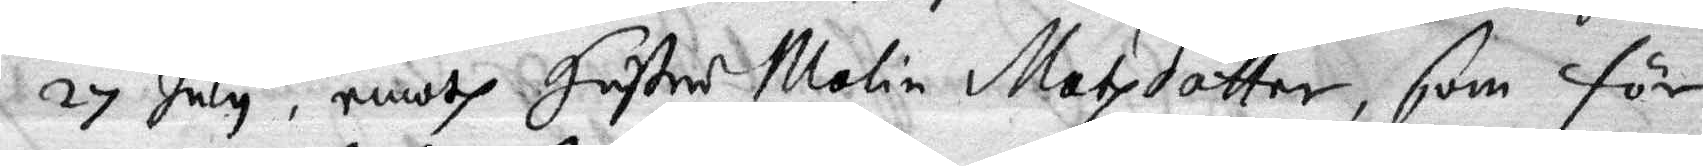27 July, emoth Hustur Malin Matzdotter, som för
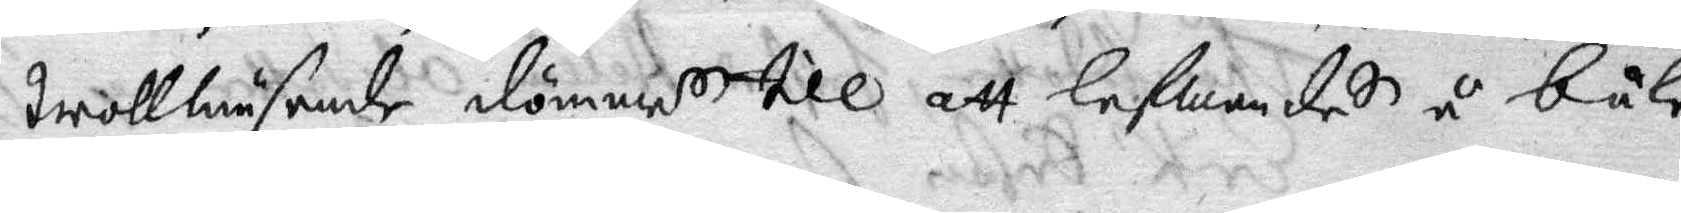trollwäsende dömmes till att lefwandes å båle 
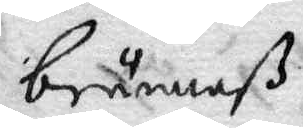brännaß.
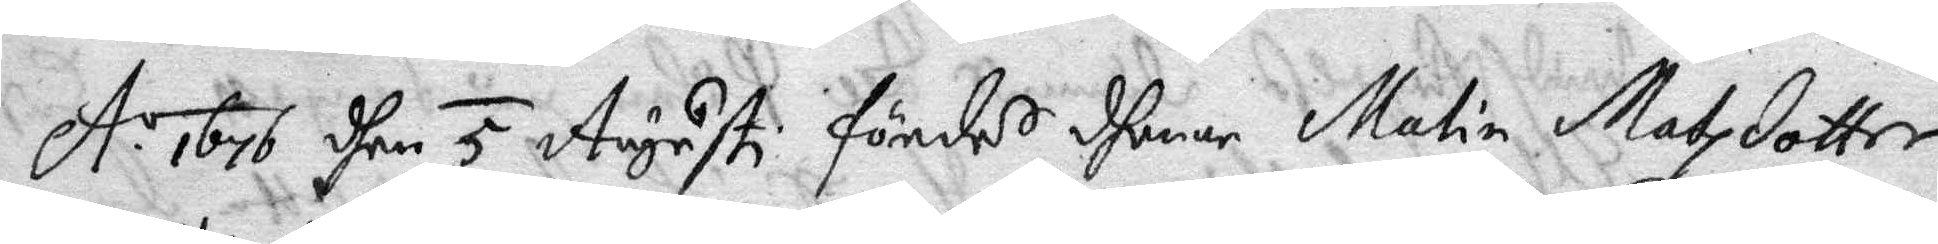A: o 1676 dhen 5 Augusti fördes dhenne Malin Matzdotter
